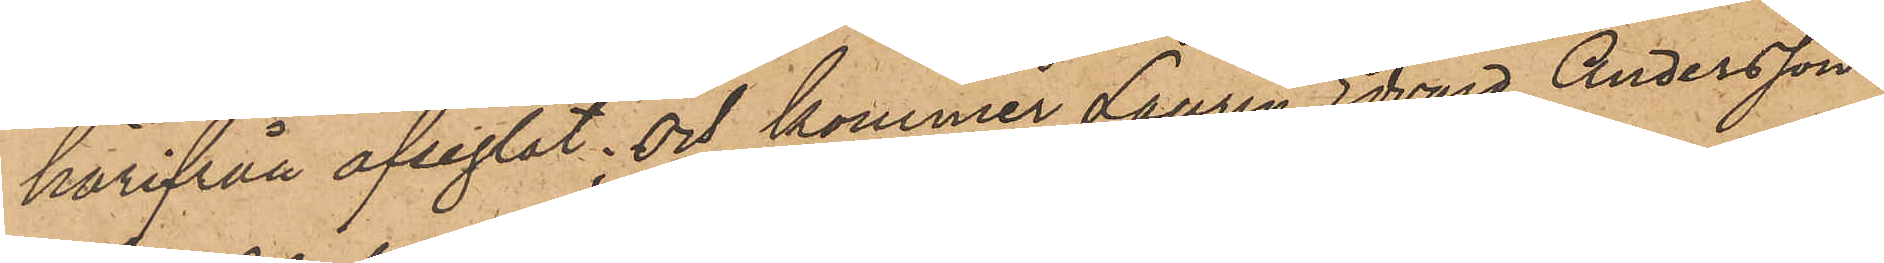härifrån afseglat; och kommer Laurin Edvard Andersson
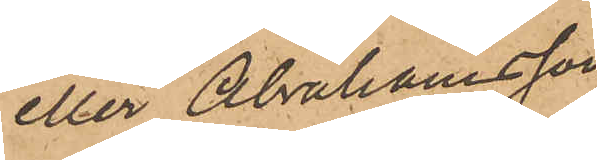eller Abrahamsson
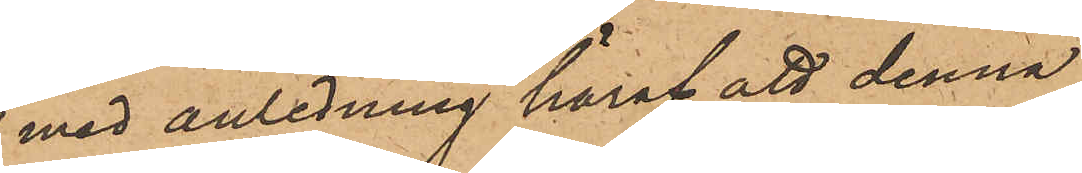med anledning häraf att denna
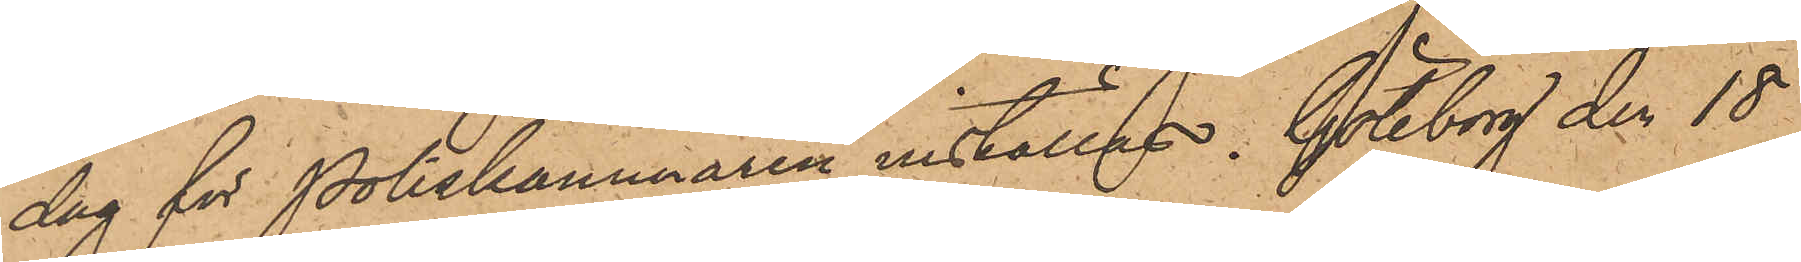dag för Poliskammaren inställas. Göteborg den 18
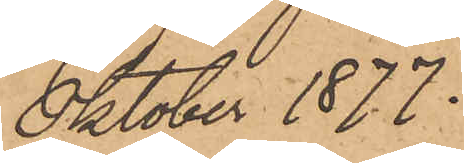Oktober 1877.
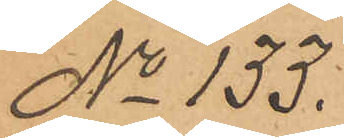No 133.
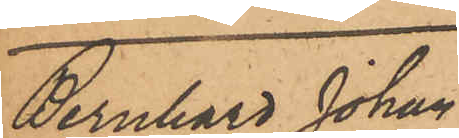Bernhard Johan
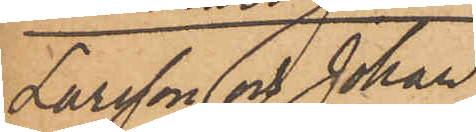Larsson och Johan
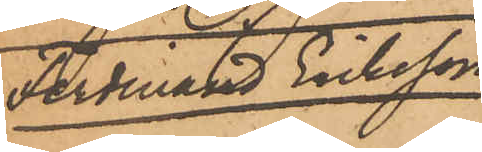Ferdinand Eriksson
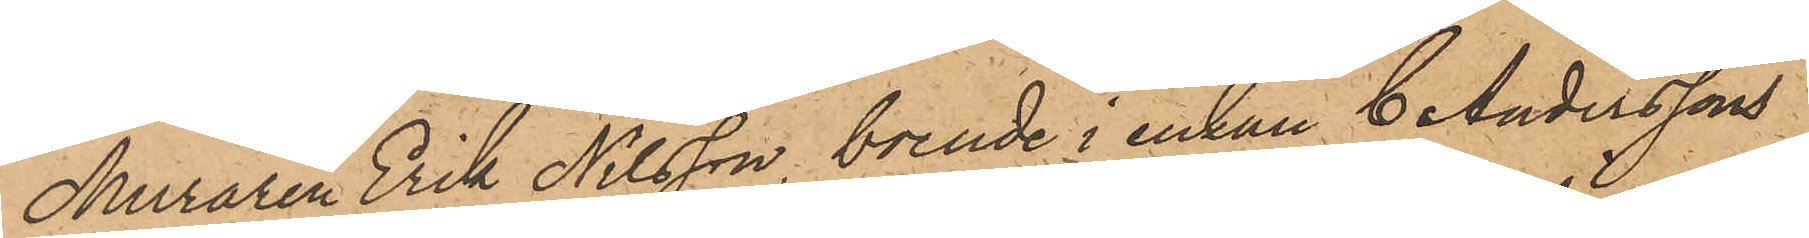Muraren Erik Nilsson, boende i enkan C. Anderssons
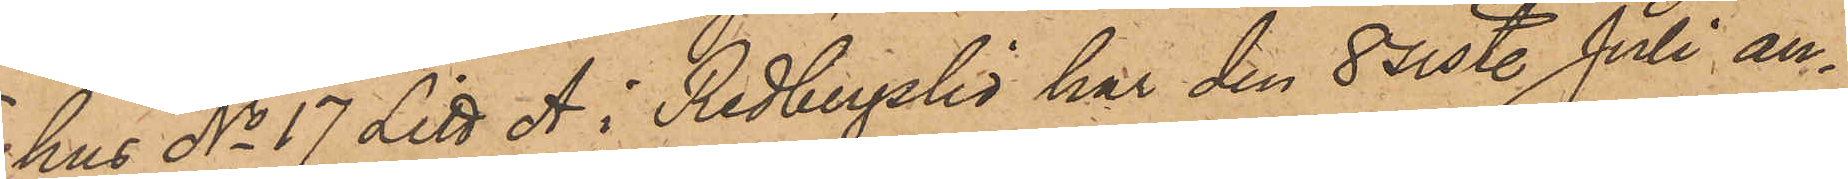hus No 17 Litt. A i Redbergslid har den 8 sist. Juli an¬
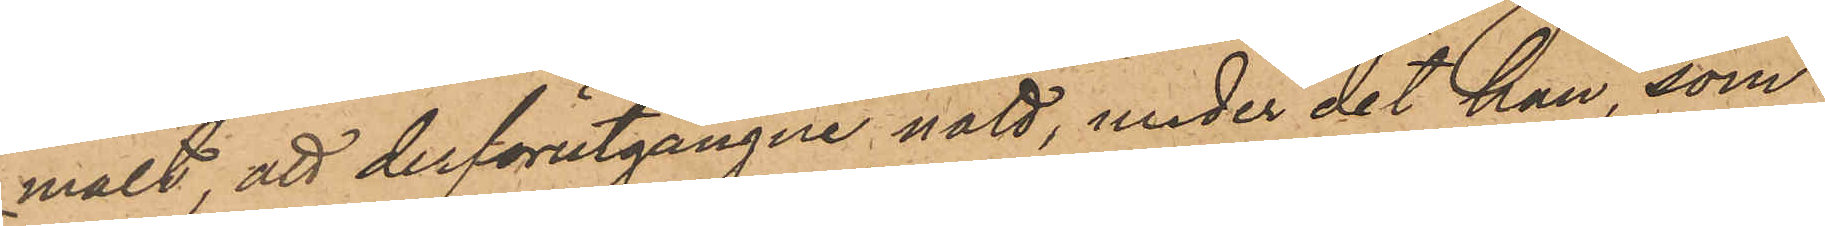mält, att derförutgångne natt, under det han, som
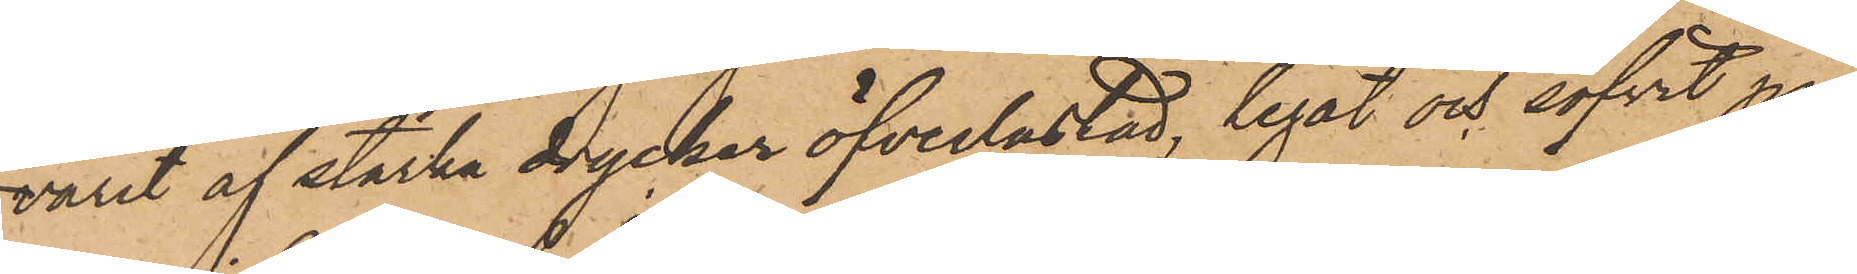varit af starka drycker öfverlastad, legat och sofvit på
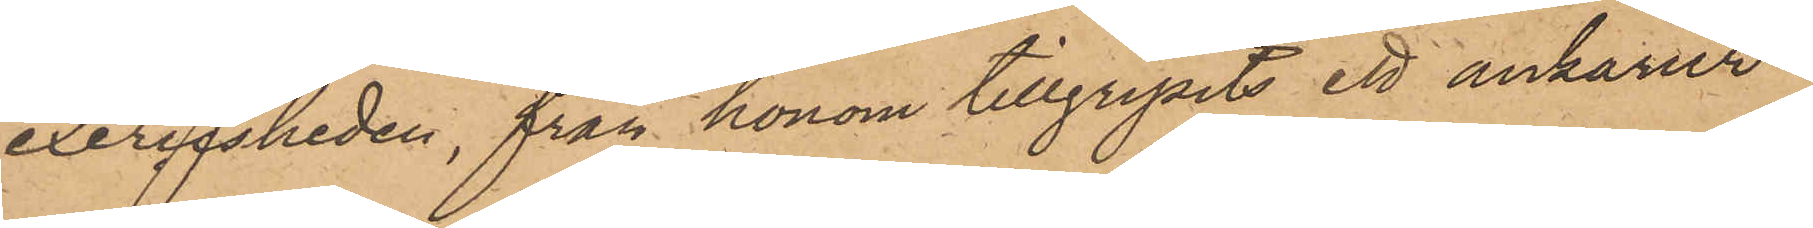exercisheden, från honom tillgripits ett ankarur
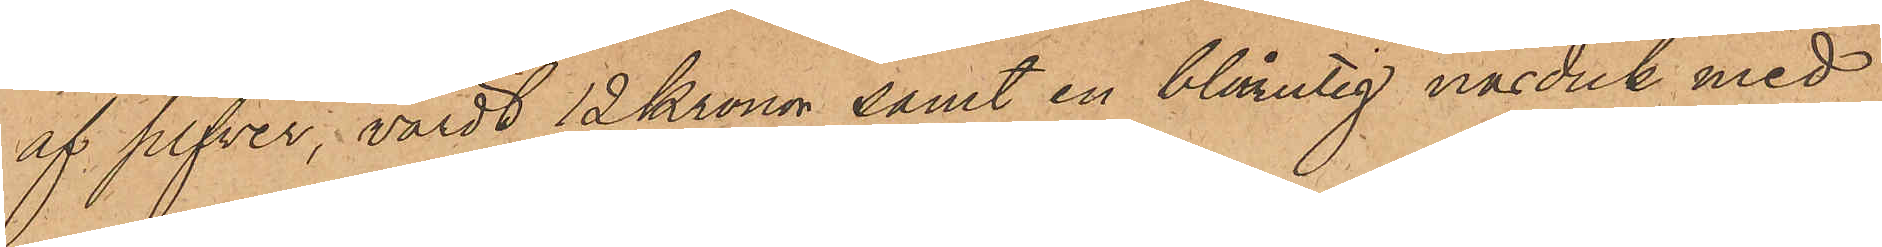af silfver, värdt 12 Kronor samt en blårutig näsduk med
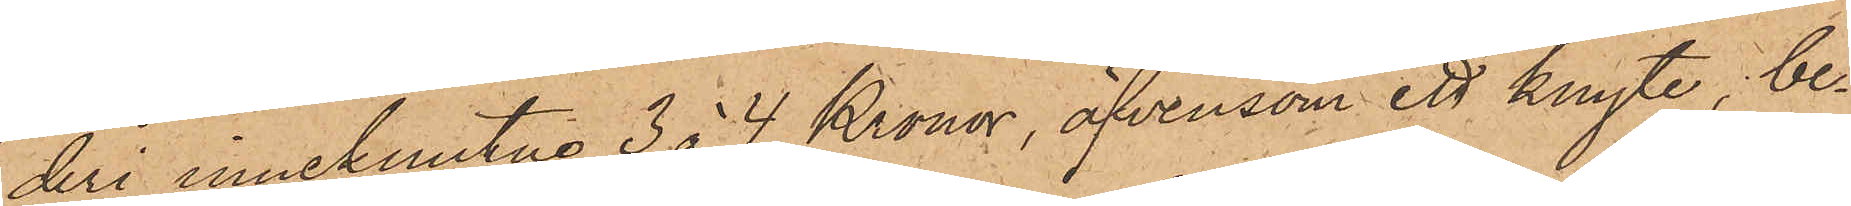deri inneknutna 3 à 4 Kronor, äfvensom ett knyte, be¬
